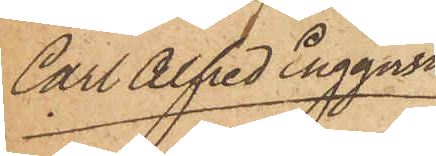Carl Alfred Engqvist
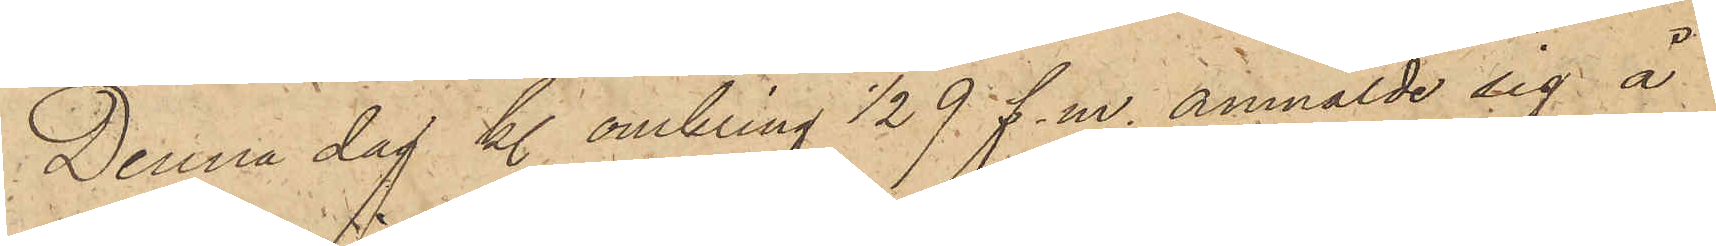Denna dag kl. omkring ½9 f. m. anmälde sig å
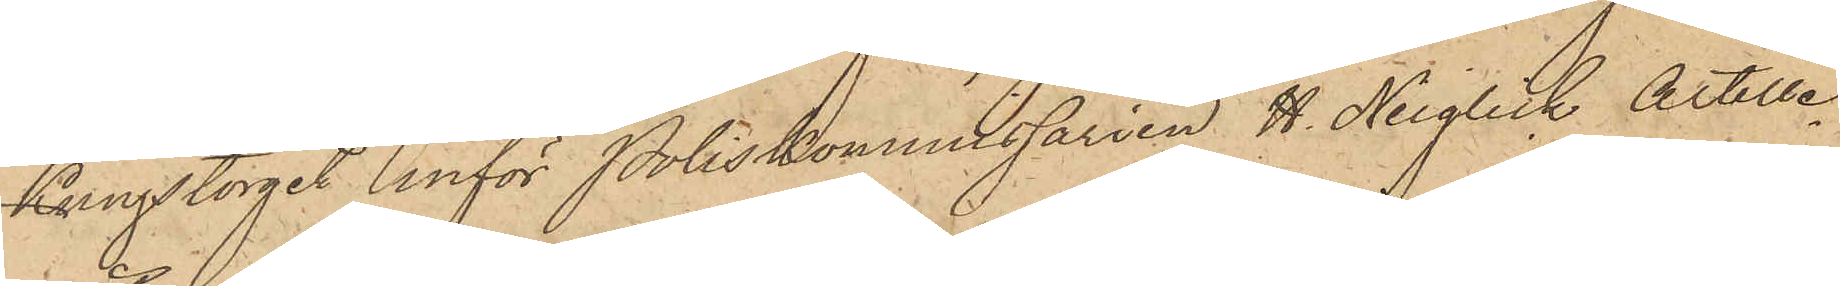Kungstorget inför Poliskommissarien H. Neiglick Artille¬
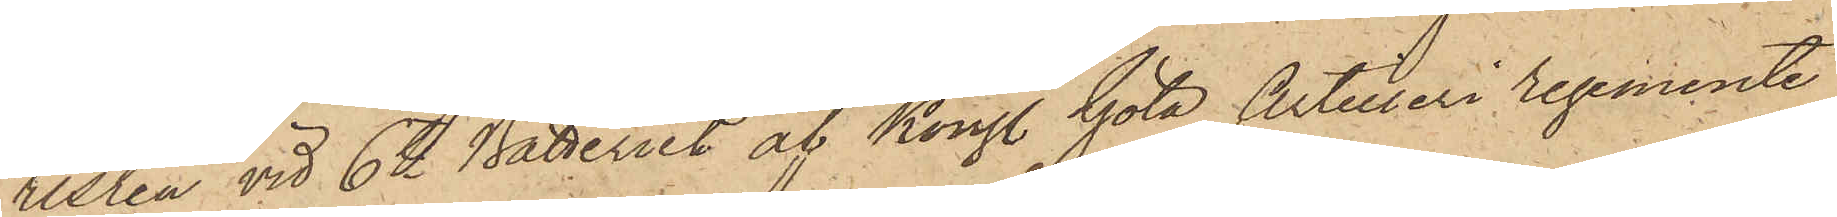risten vid 6te Batteriet af Kongl. Göta Artilleri regemente
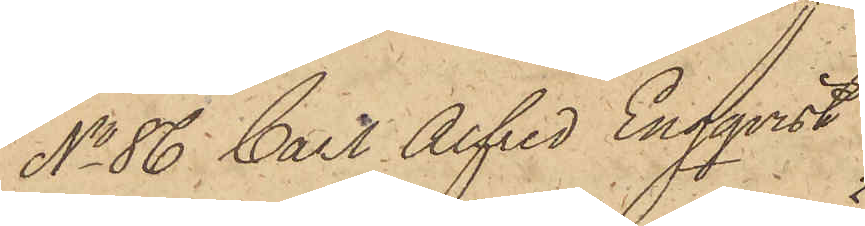No 86 Carl Alfred Engqvist
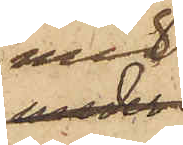med
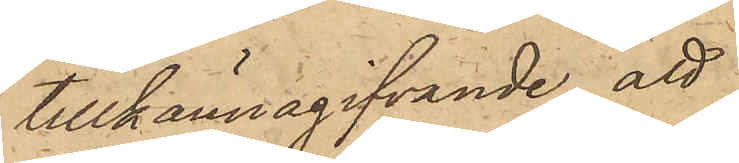tillkännagifvande, att
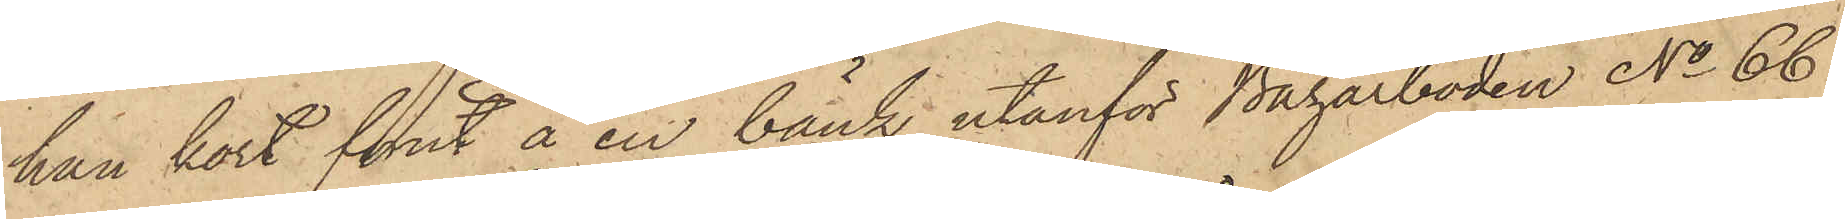han kort förut å en bänk utanför Bazarboden No 66
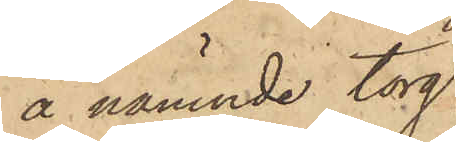å nämnde torg
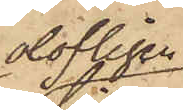olofligen
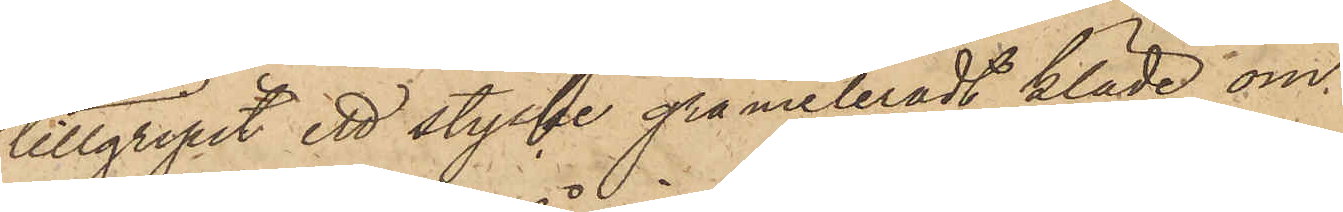tillgripit ett stycke gråmeleradt kläde om
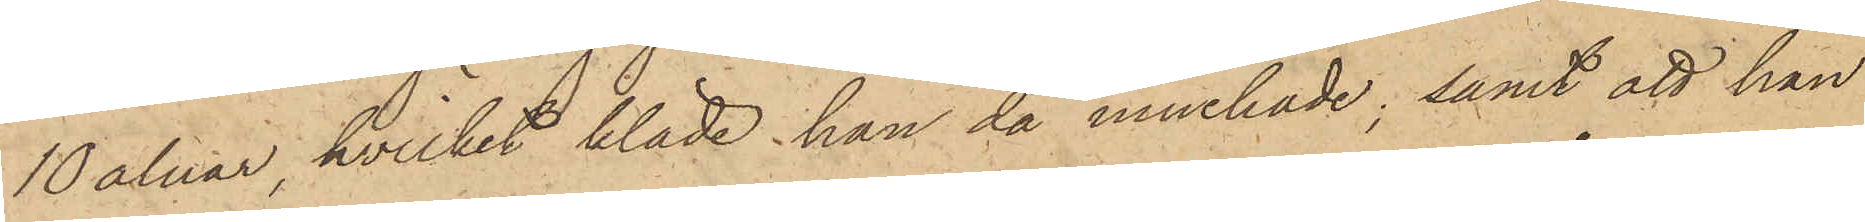10 alnar, hvilket kläde han då innehade; samt att han
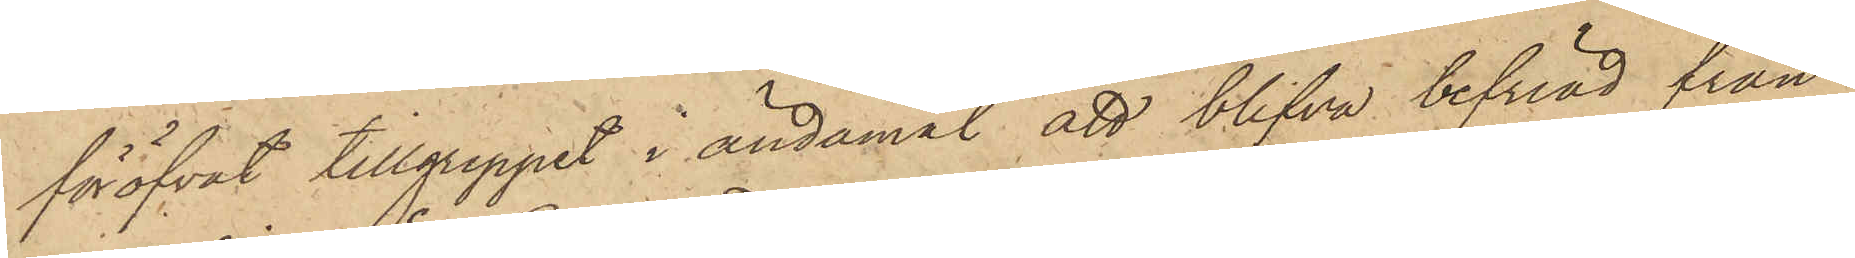föröfvat tillgreppet i ändamål att blifva befriad från
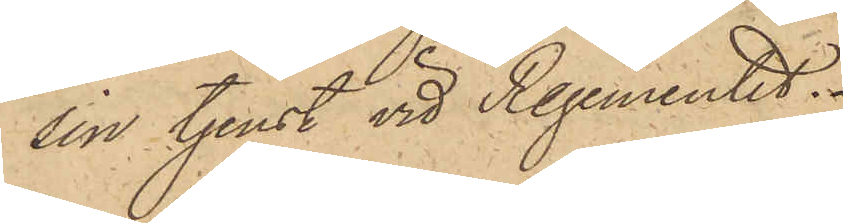sin tjenst vid Regementet.
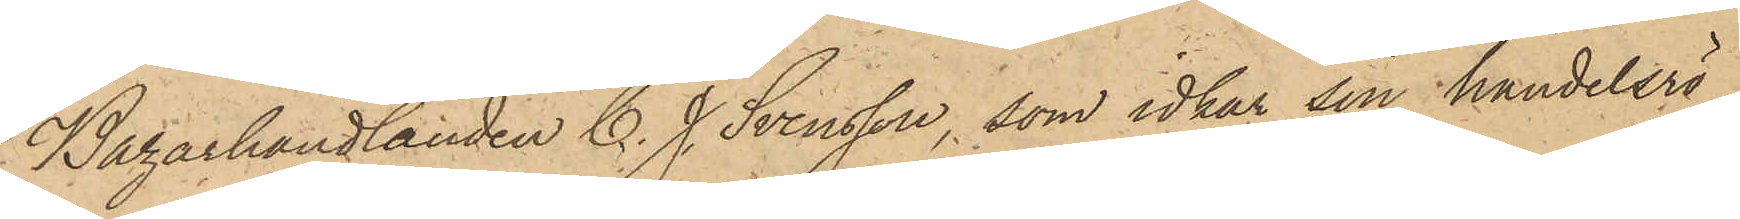Bazarhandlanden C. J. Svensson, som idkar sin handelsrö¬
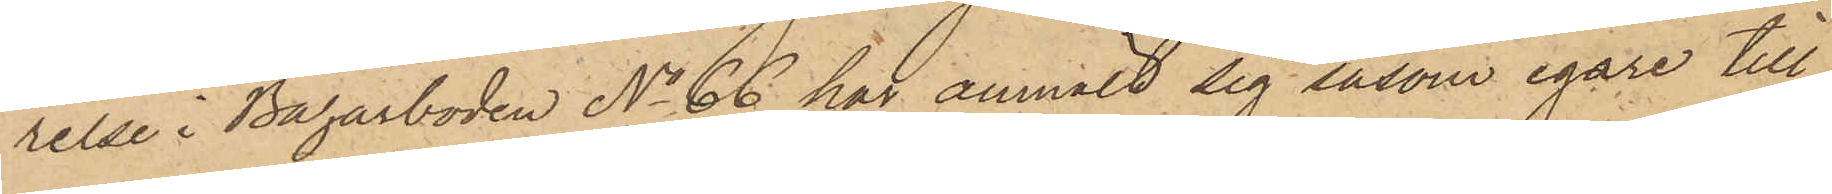relse i Bazarboden No 66 har anmält sig såsom egare till
